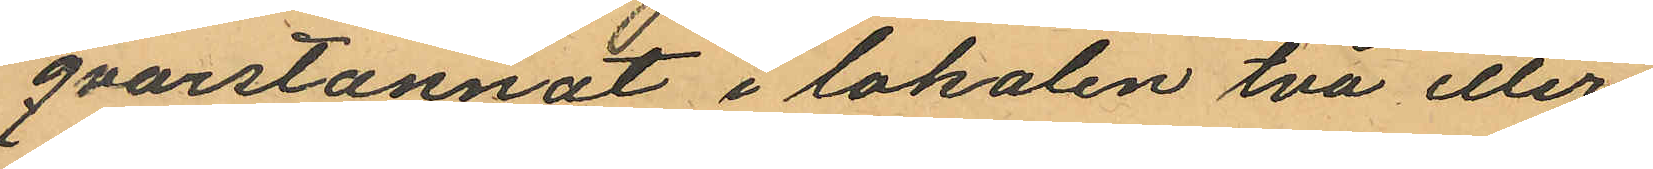qvarstannat i lokalen två eller
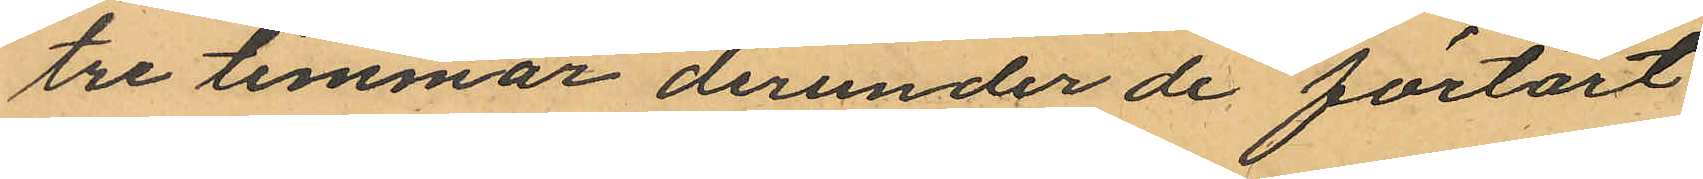tre timmar derunder de förtärt
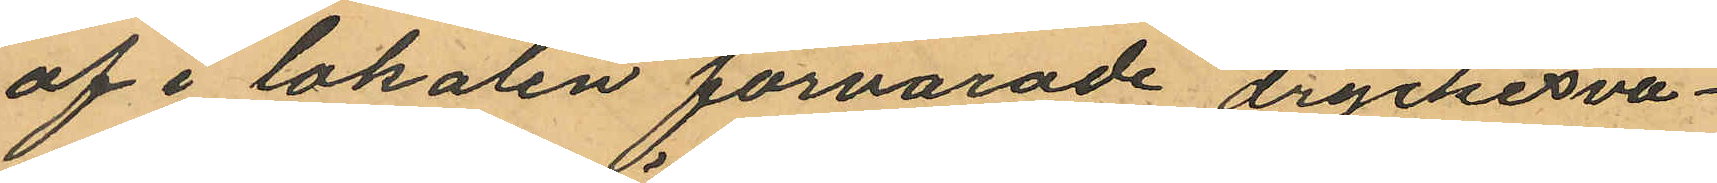af i lokalen förvarade dryckesva¬
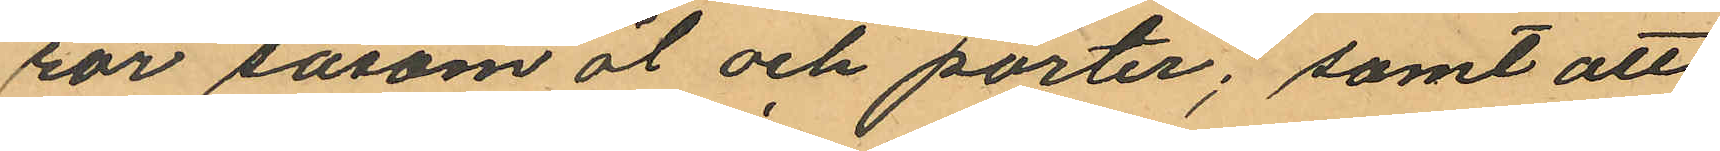ror såsom öl och porter; samt att
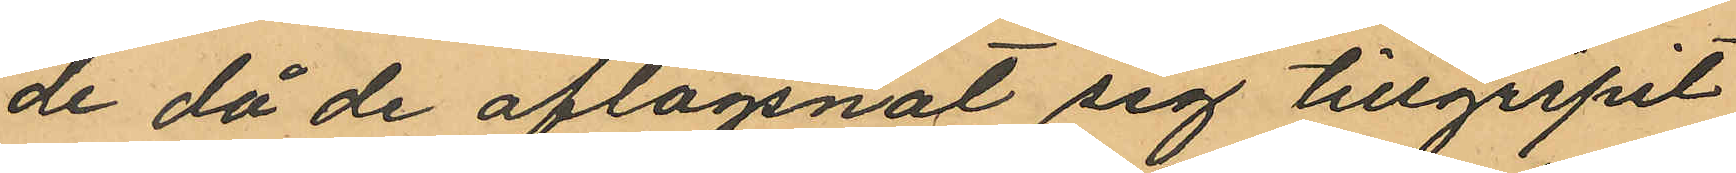de då de aflägsnat sig tillgripit
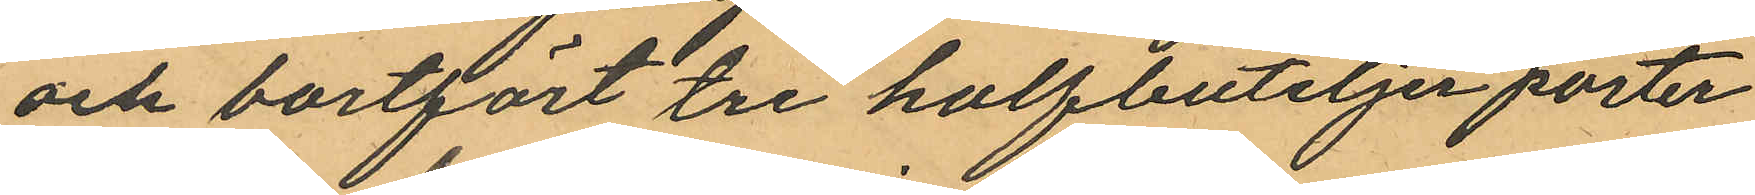och bortfört tre halfbutelje porter
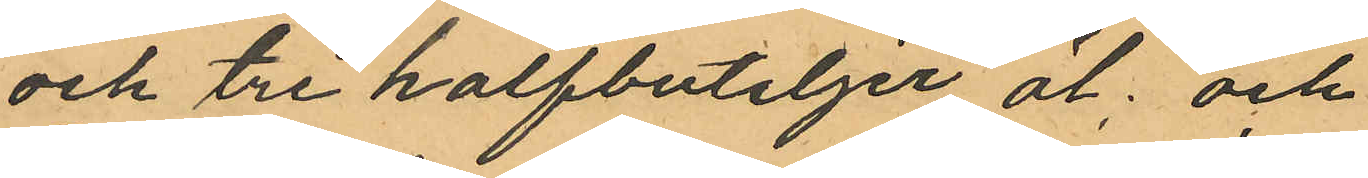och tre halfbuteljer öl; och
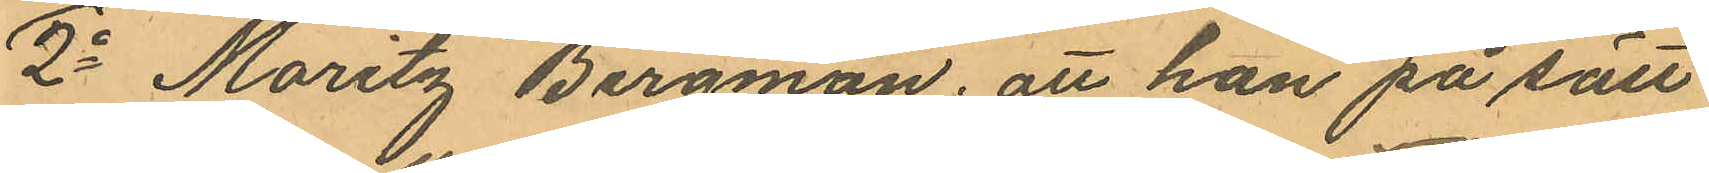2o Moritz Bergman; att han på sätt
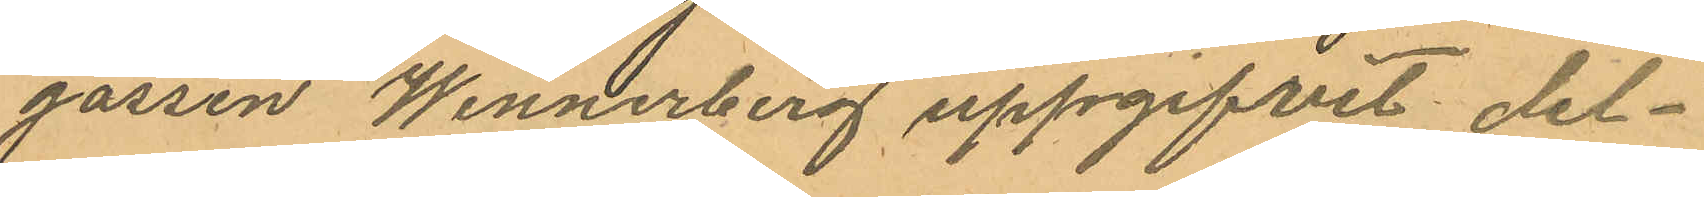gossen Wennerberg uppgifvit del¬
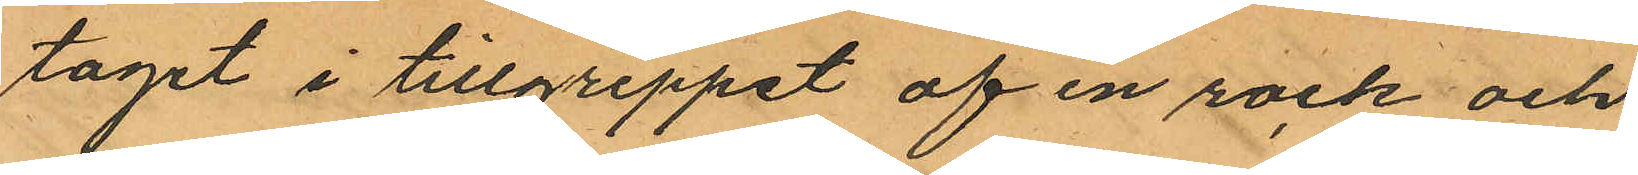taget i tillgreppet af en rock och
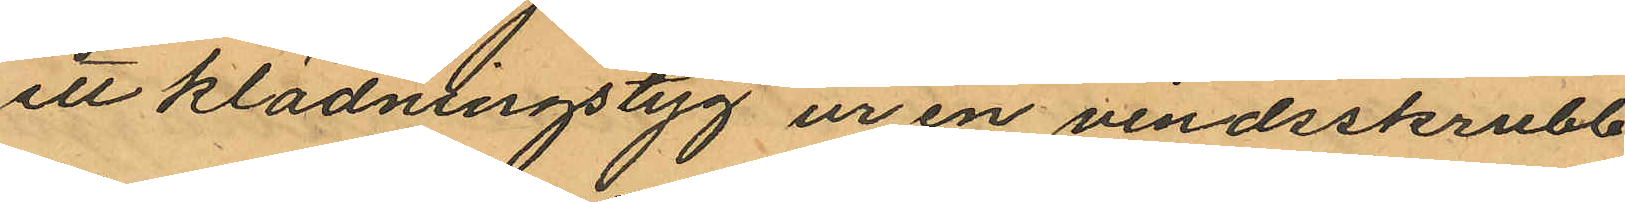ell klädningstyg ur en vindsskrubb
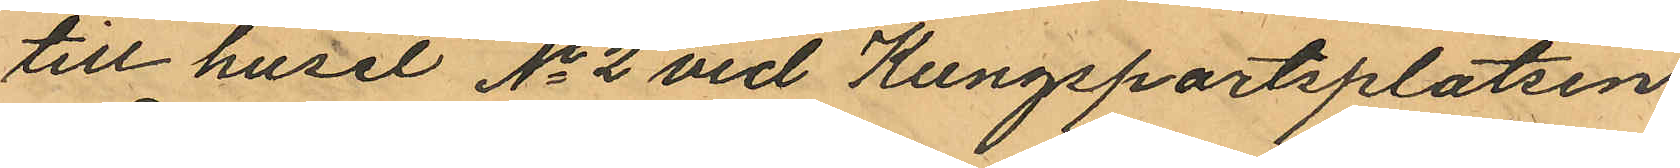till huset No 2 vid Kungsportsplatsen
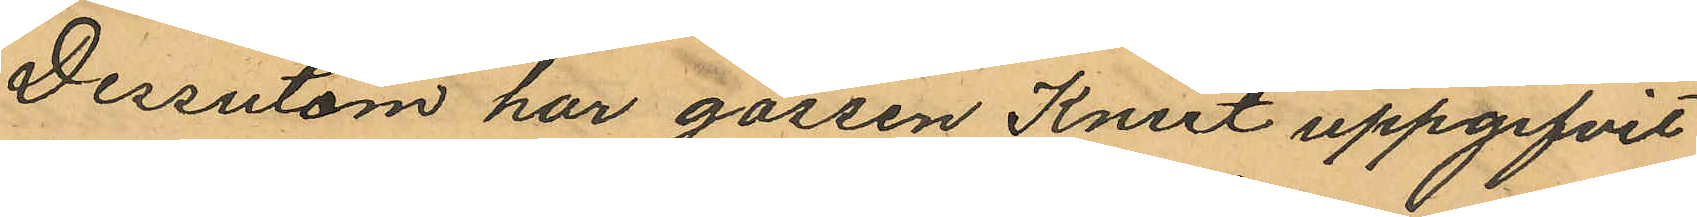Dessutom har gossen Knut uppgifvit
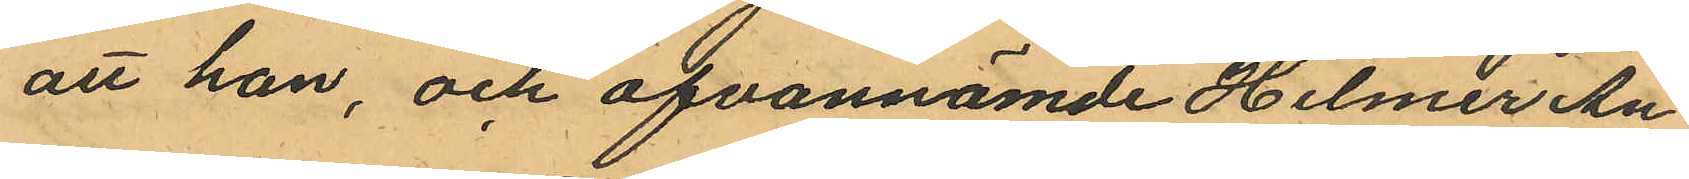att han, och ofvannämde Hilmer An¬
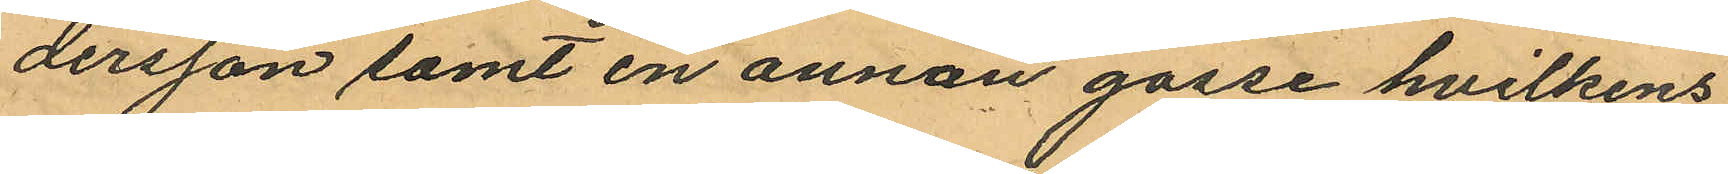dersson samt en annan gosse hvilkens
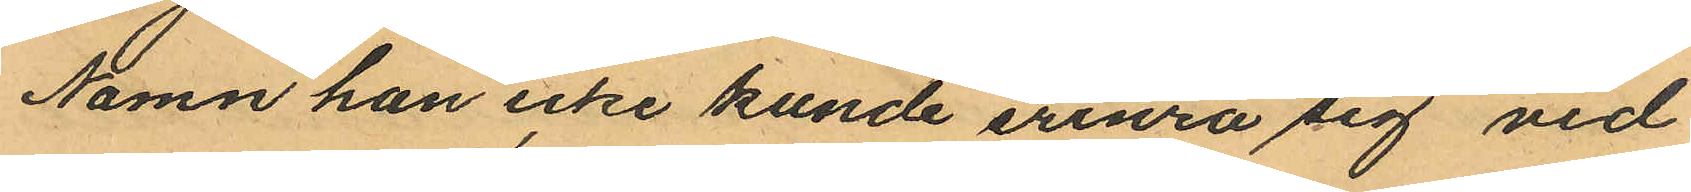Namn han icke kunde erinra sig vid
